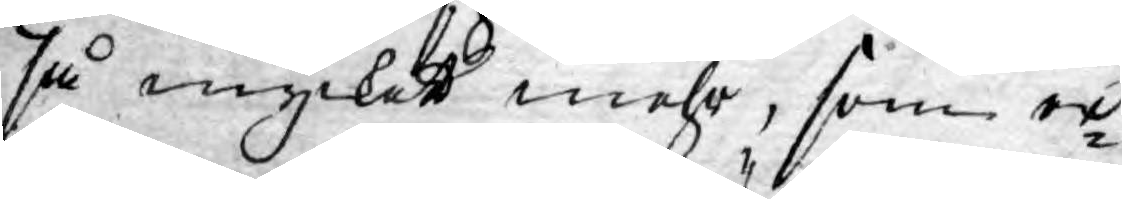så mycket mehr, som er¬
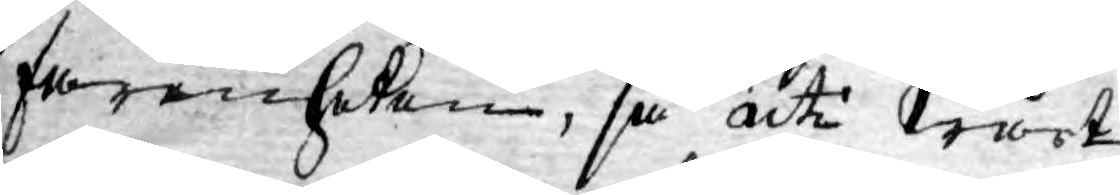farenheten, så uti Wårt,
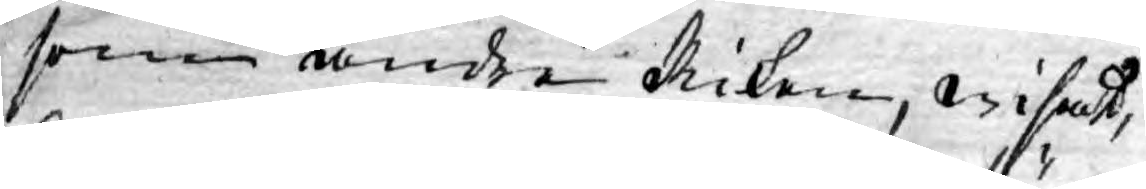som andre Riken, wisat,
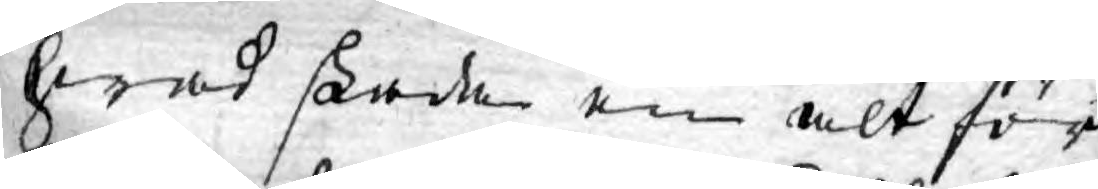hwad skada en alt för
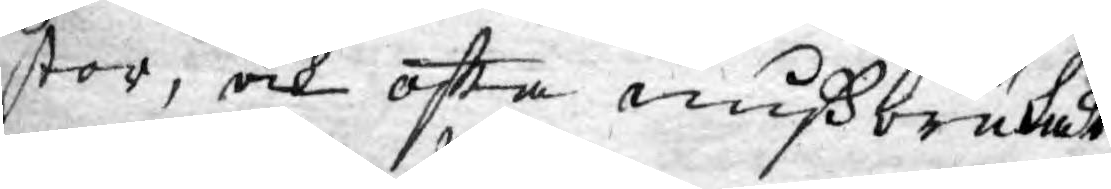stor, och ofta mißbrukat
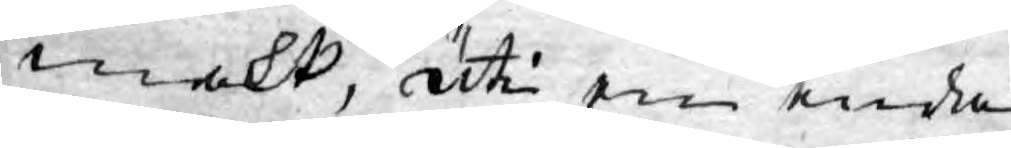makt, uti en enda
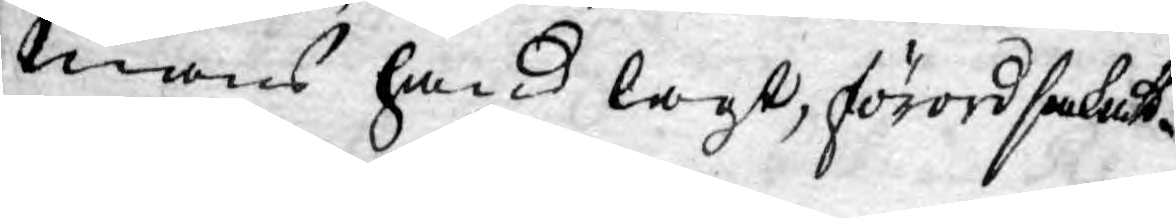mans hand lagt, förordsakat.
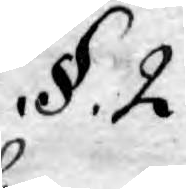§. 2.
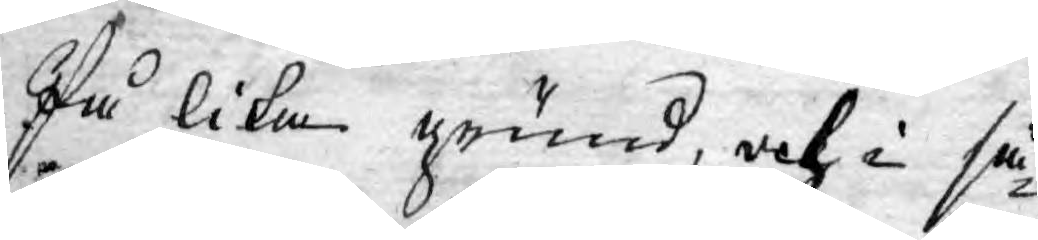På lika grund, och i så¬
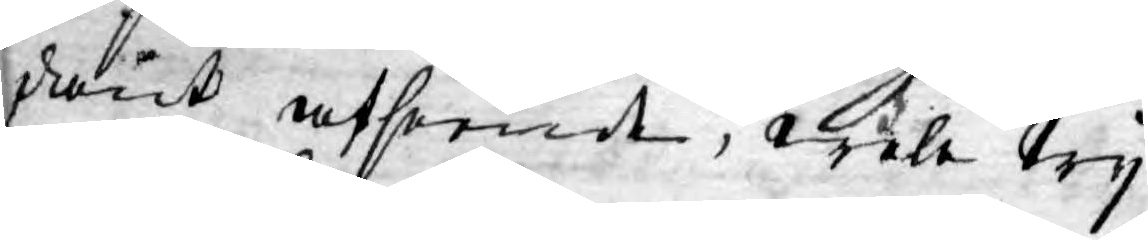dant afseendt, wele Wy
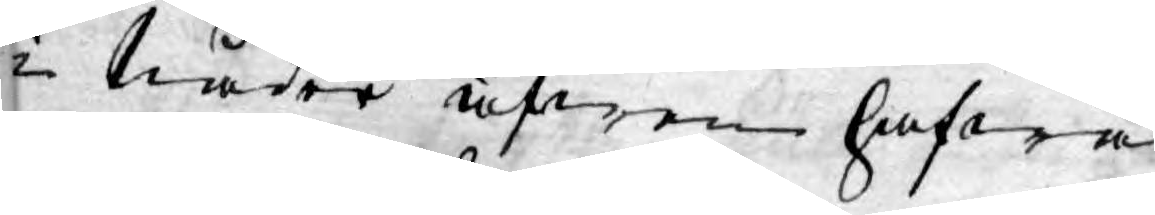i nåder äfwen hafwa
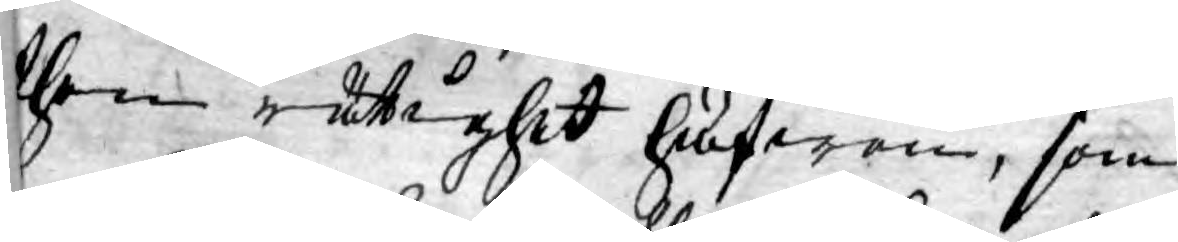then rättighet hufwen, som
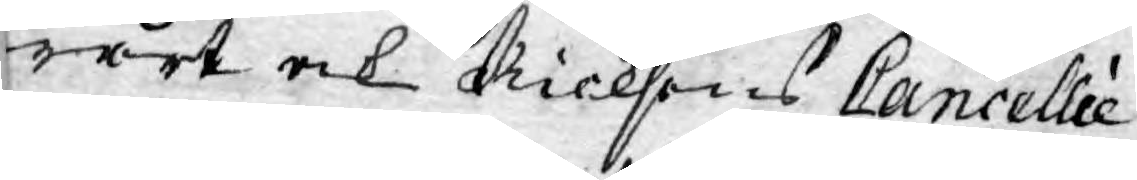wårt ock Ricksens Cancellie
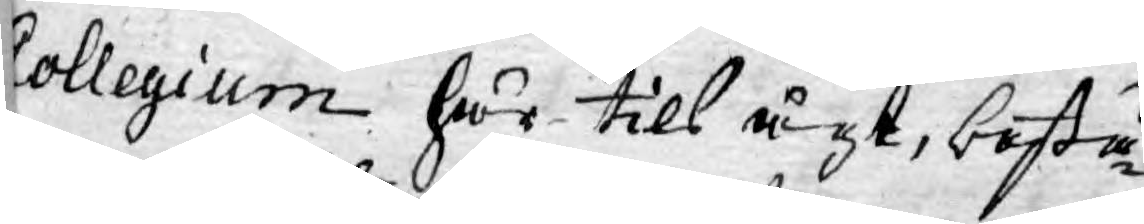Collegium här till ägt, bestå¬
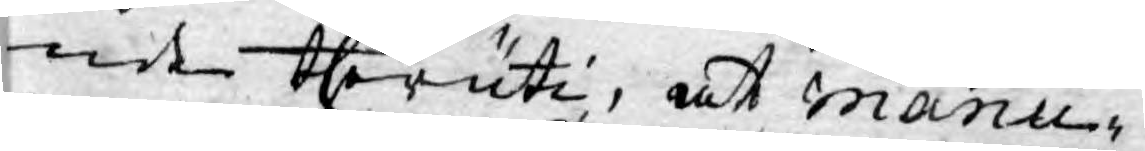nde theruti, at Manu¬
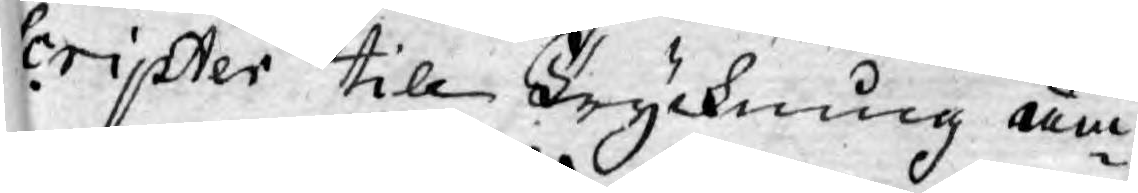scripter till Tryckning äm¬
